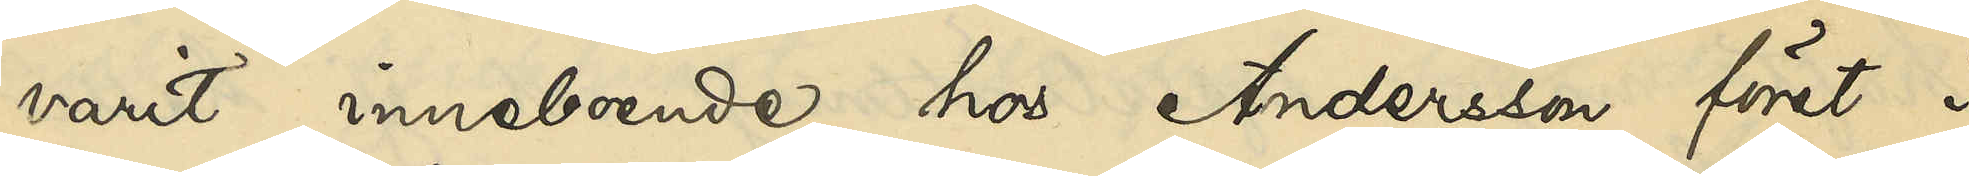varit inneboende hos Andersson först i
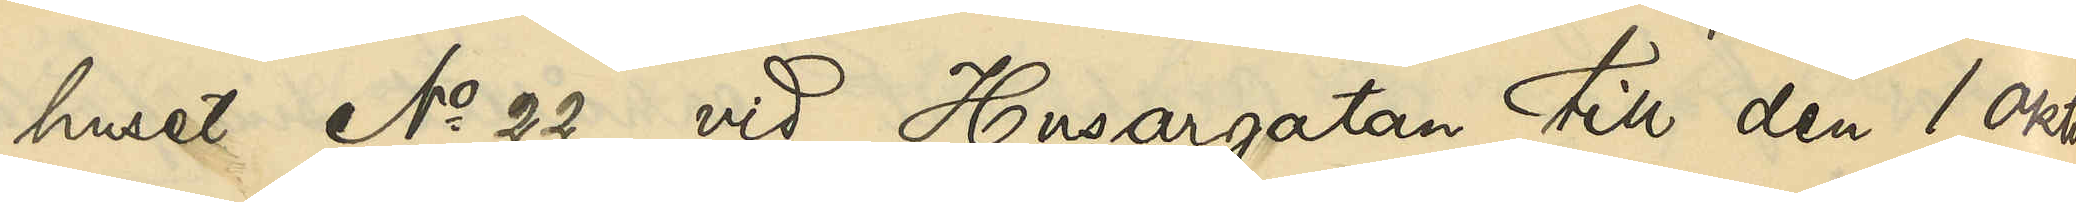huset No 22 vid Husargatan till den 1 Okto¬
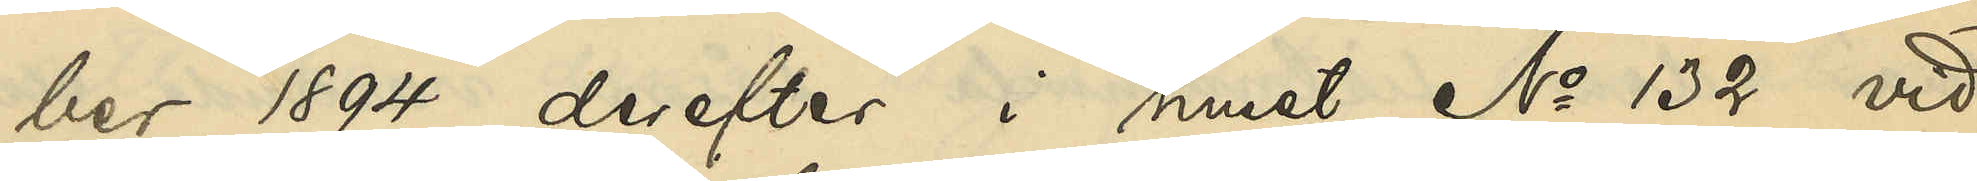ber 1894, derefter i huset No 132 vid
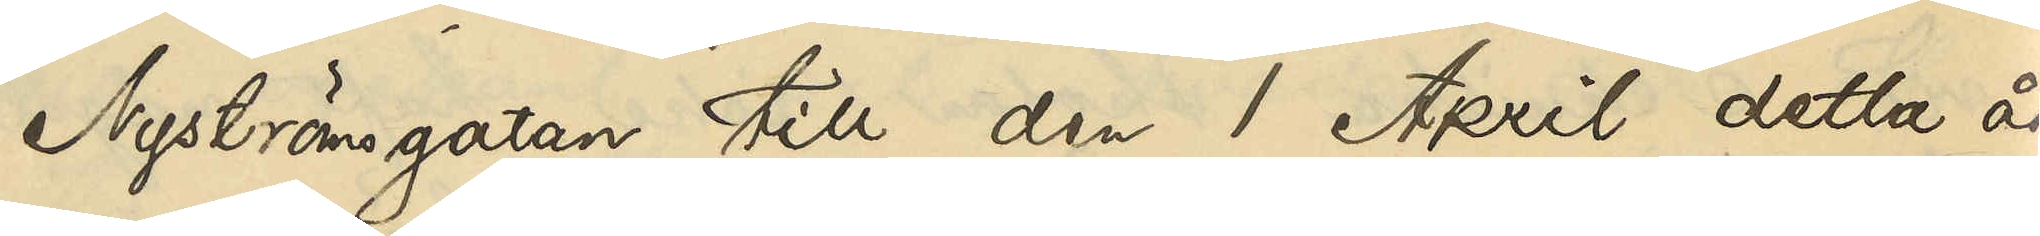Nyströmsgatan till den 1 April detta år
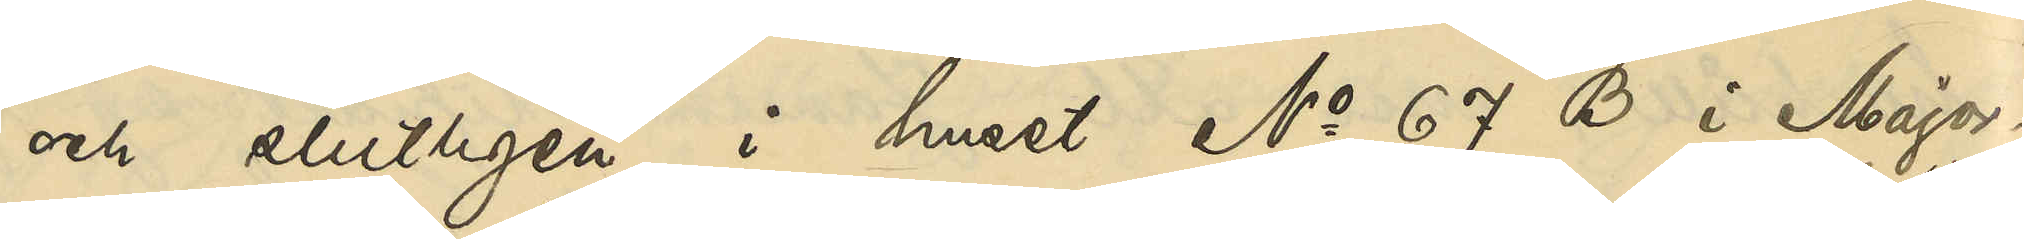och slutligen i huset No 67 B i Major¬
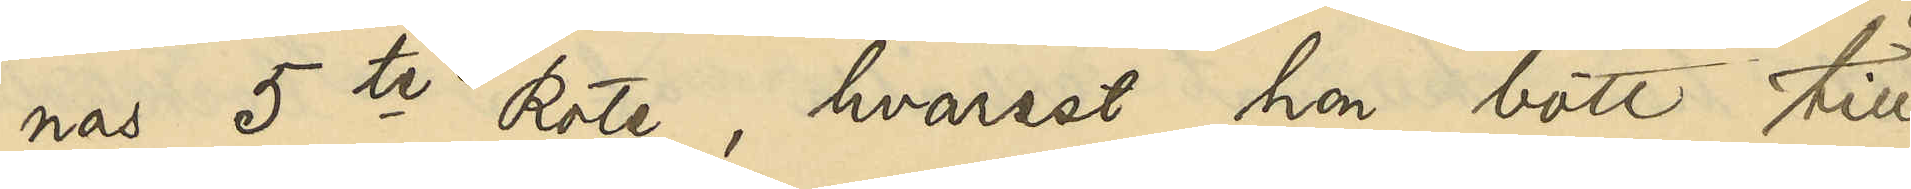nas 5te Rote, hvarest hon bott till 
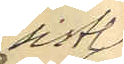sistl
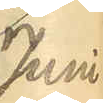Juni
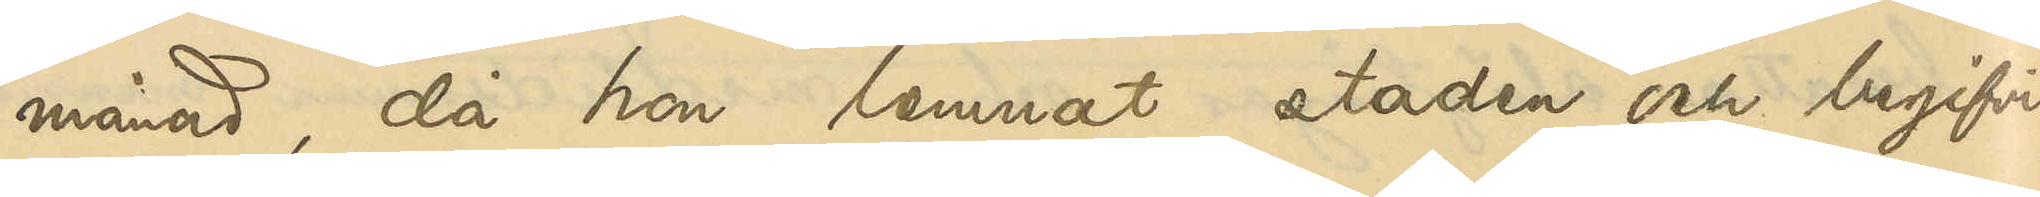månad, då hon lemnat staden och begifvit
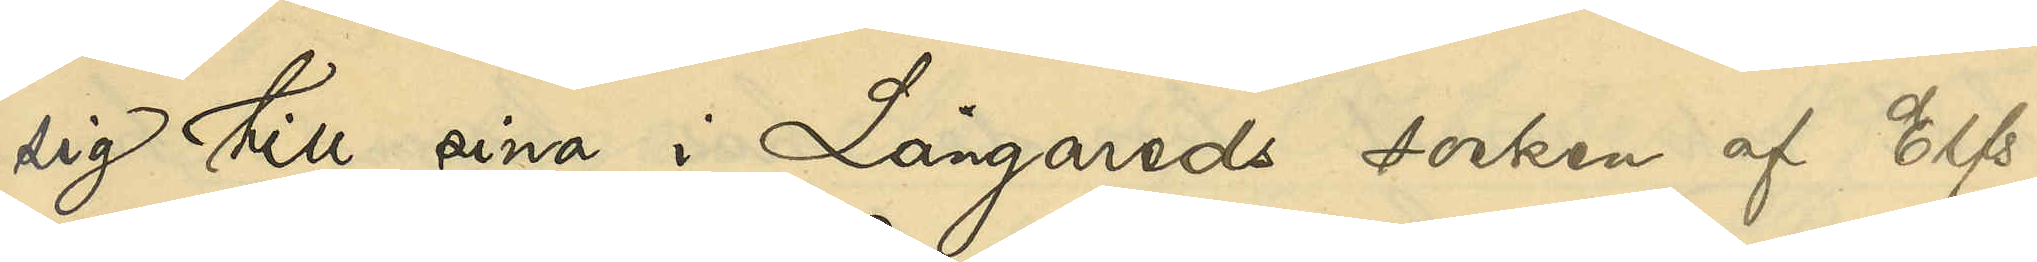sig till sina i Långareds socken af Elfs¬
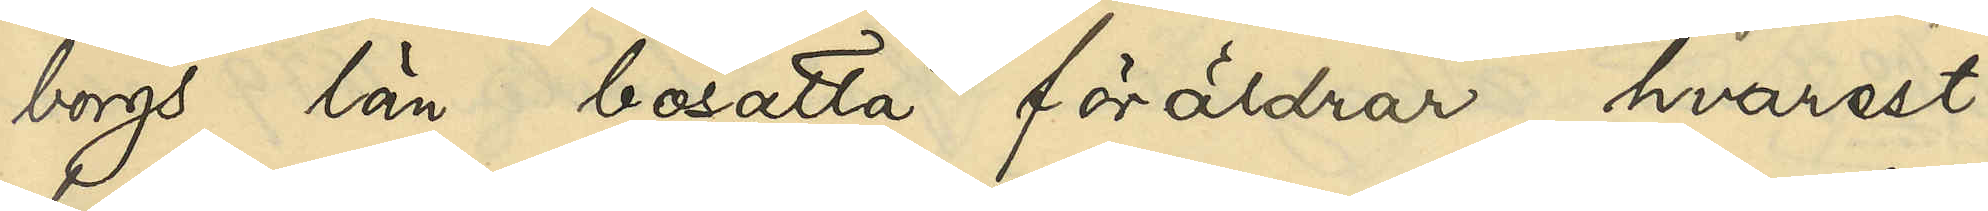borgs län bosatta föräldrar, hvarest
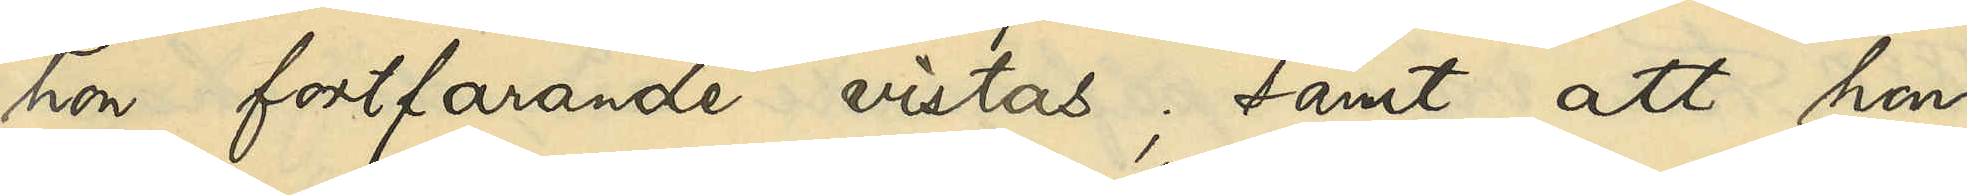hon fortfarande vistas, samt att hon
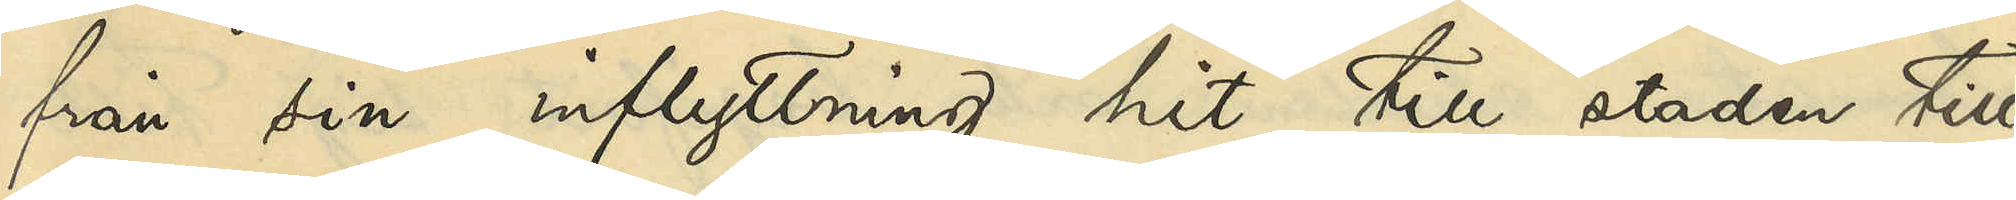från sin inflyttning hit till staden till
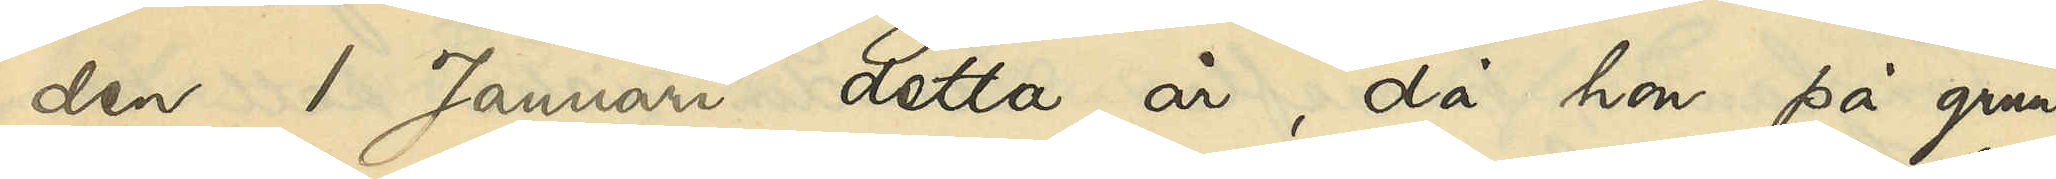den 1 Januari detta år, då hon på grund
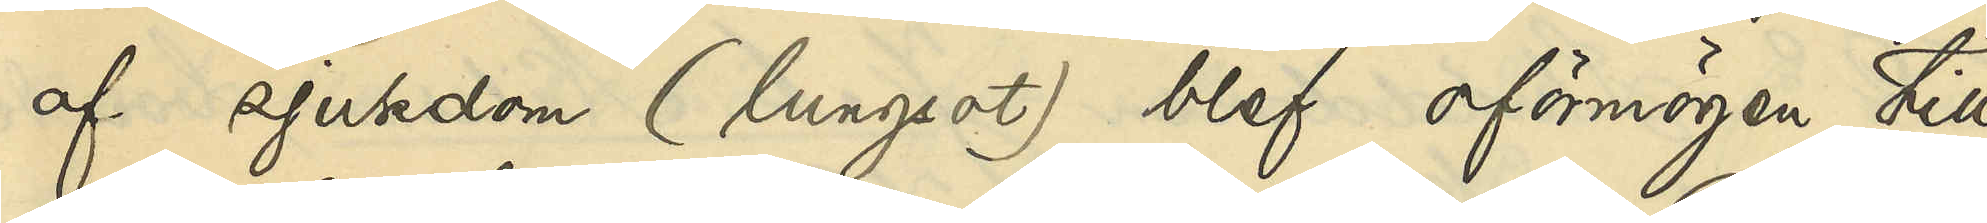af sjukdom (lungsot) blef oförmögen till
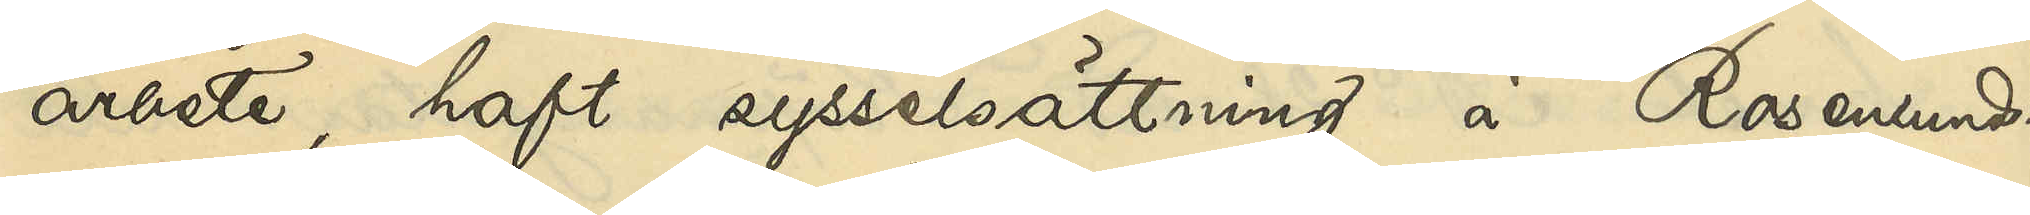arbete, haft sysselsättning å Rosenlunds
